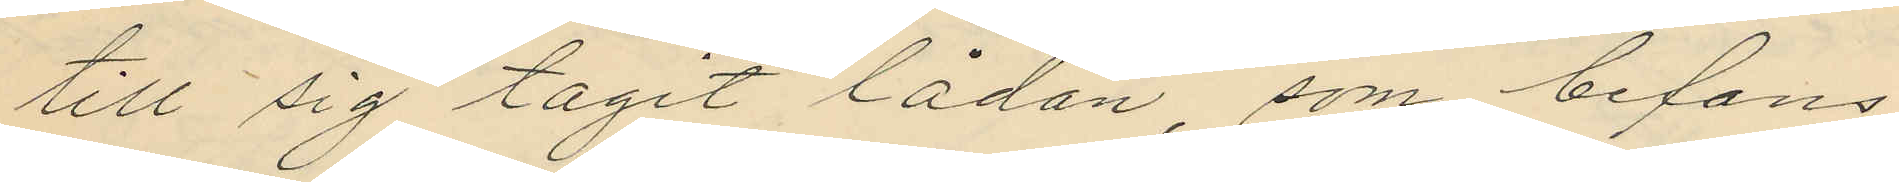till sig tagit lådan, som befans
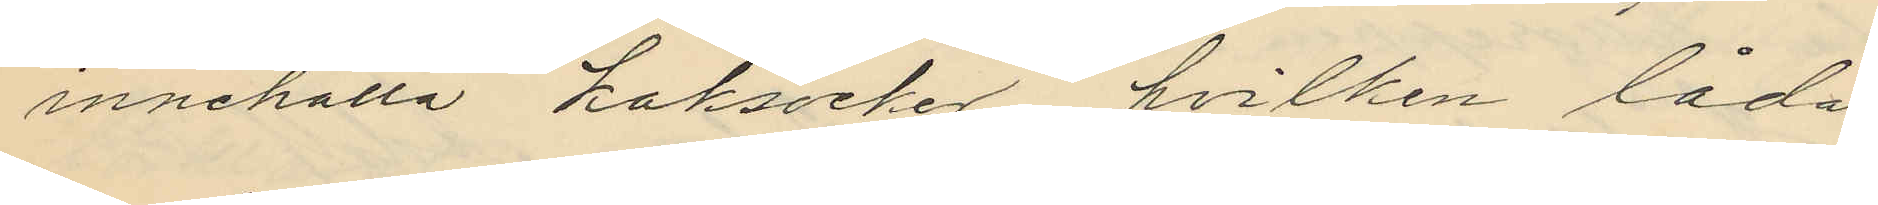innehålla koksocker, hvilken låda
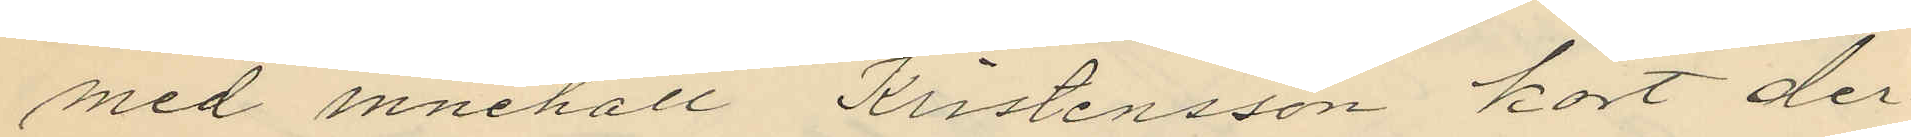med innehåll Kristensson kort der
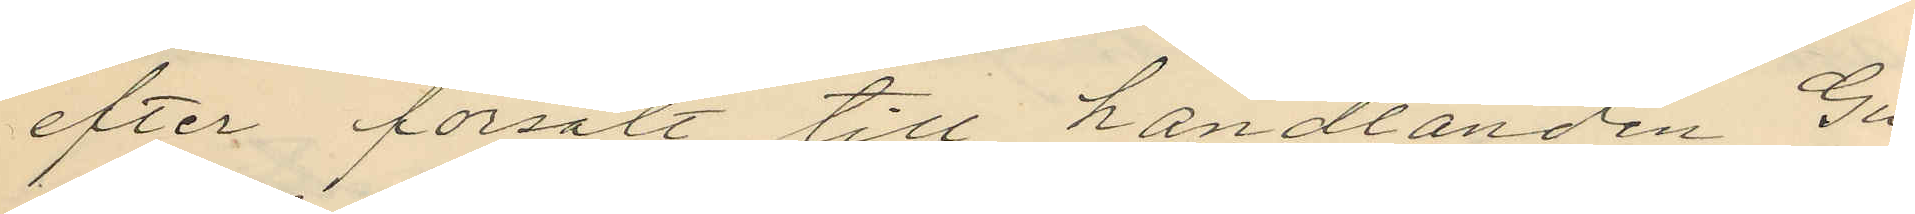efter försålt till handlanden Gu¬
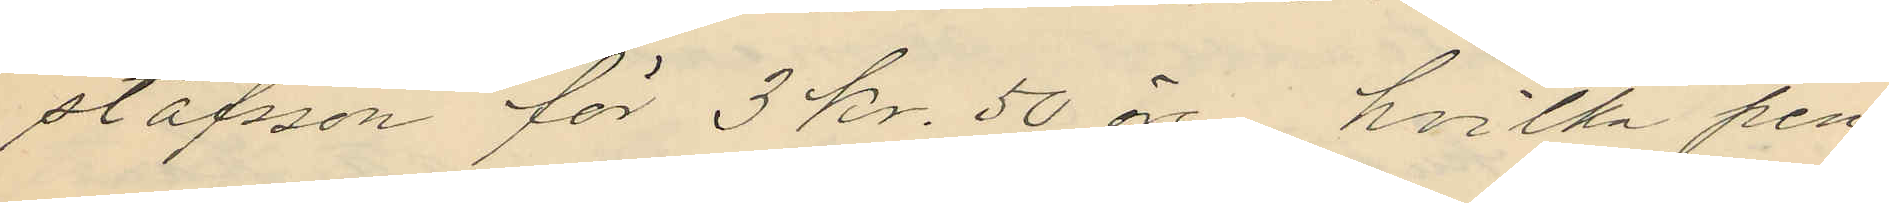stafsson för 3 kr. 50 öre, hvilka pen¬
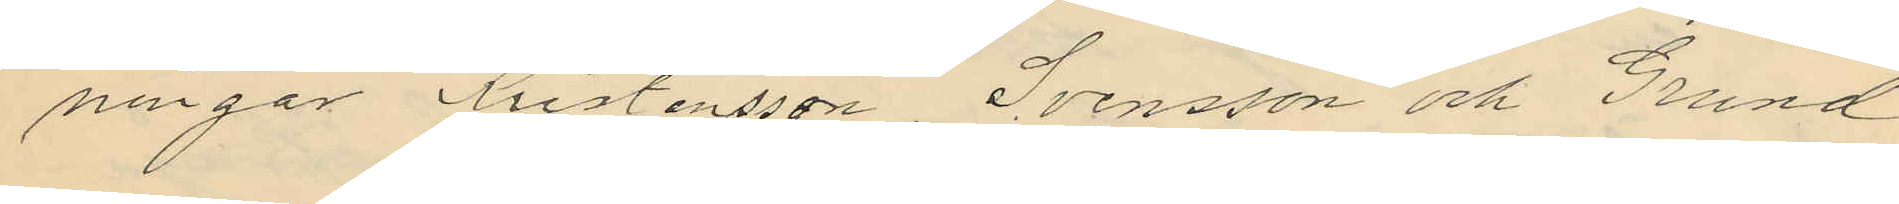ningar Kristensson, Svensson och Grund
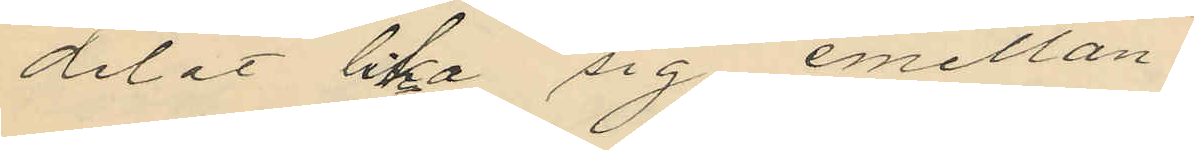delat lika sig emellan;
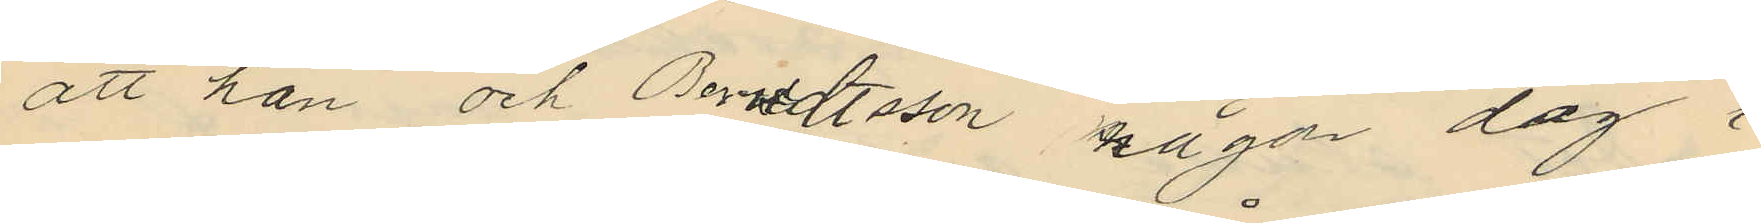att han och Berndtsson någon dag i
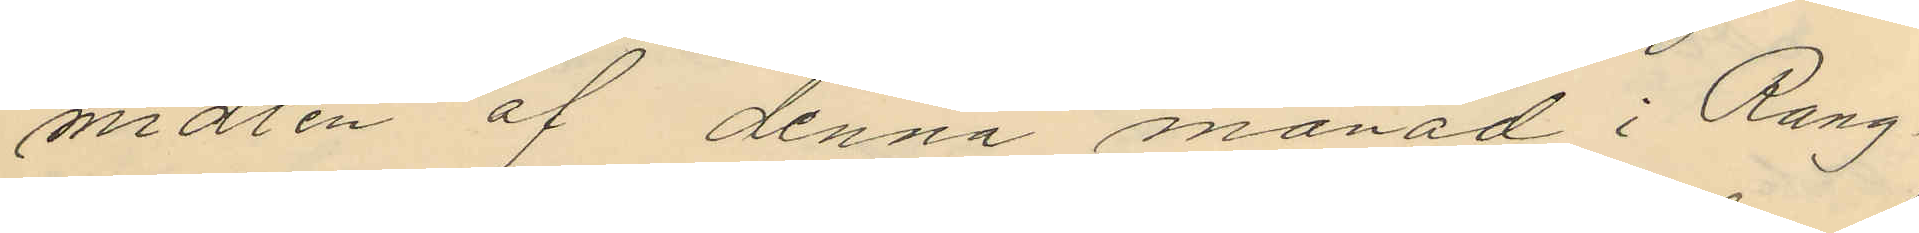midten af denna månad i Rang¬
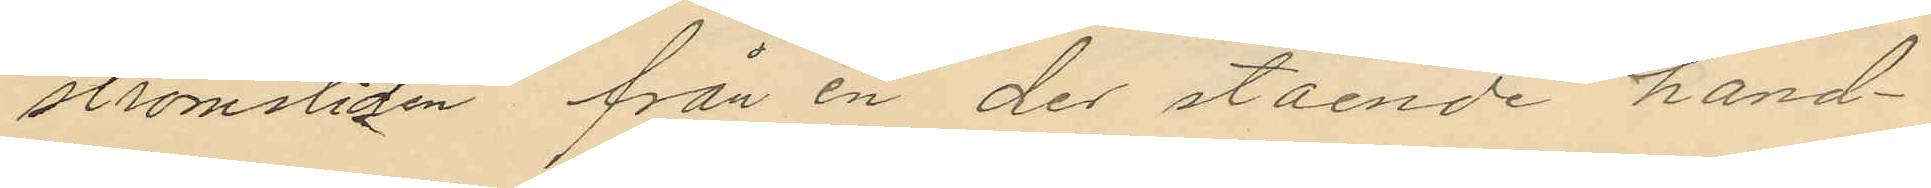strömsliden från en der stående hand¬
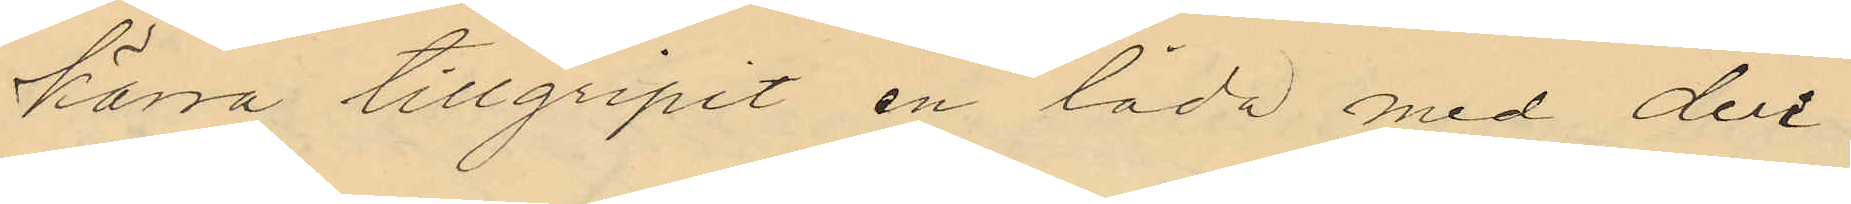kärra tillgripit en låda med deri
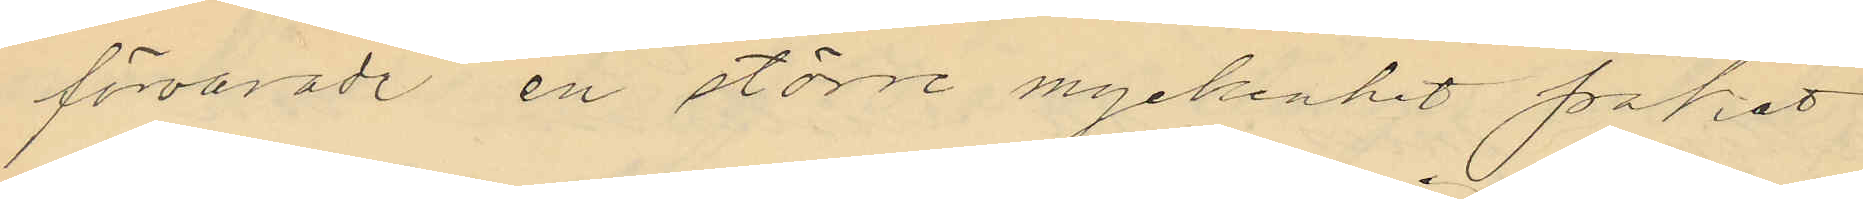förvarade en större myckenhet paket
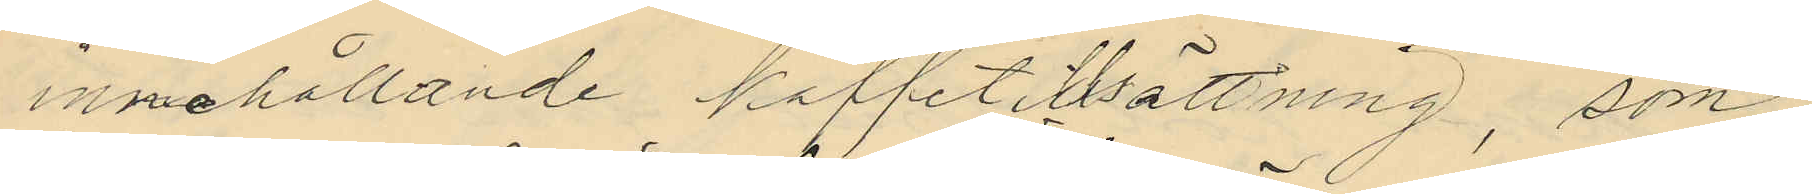innehållande kaffetillsättning, som
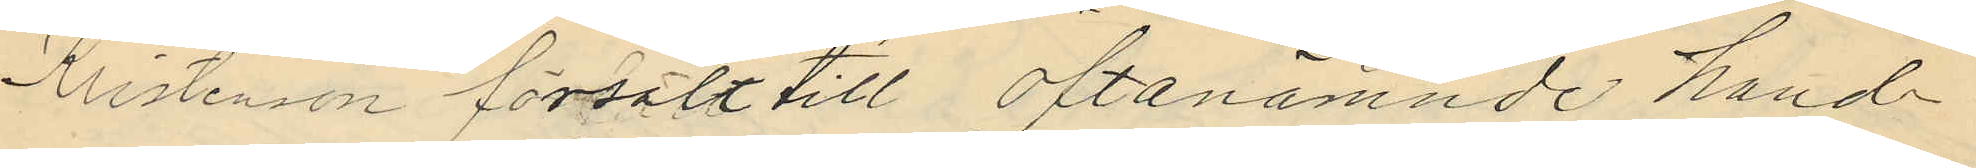Kristensson försålt till oftanämnde hand¬
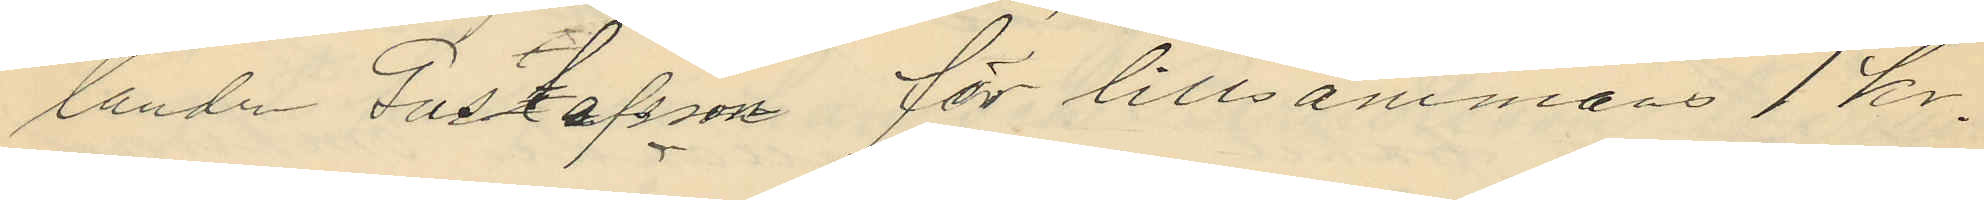lande Gustafsson för tillsammans 1 kr.
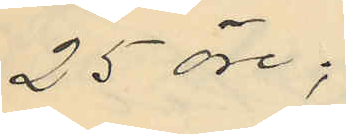25 öre;
